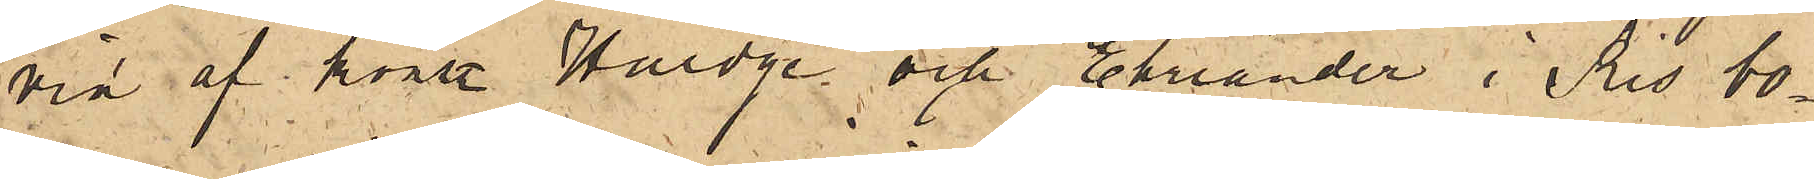vid af konstl Hedge och Ehriander i Ris bo¬
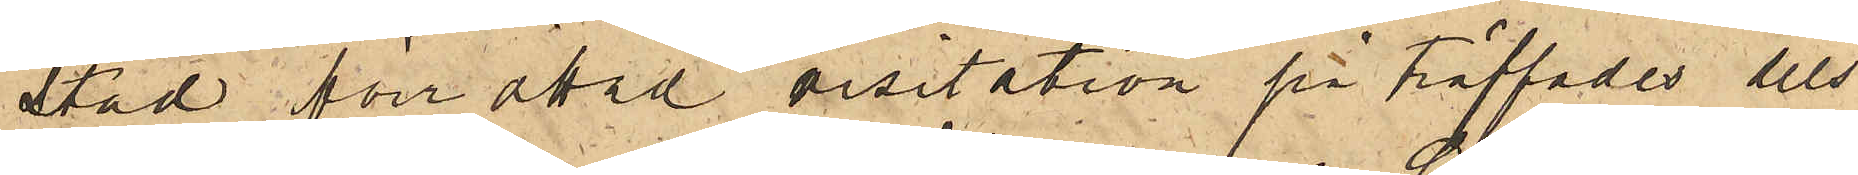stad förrättad visitation påträffades dels
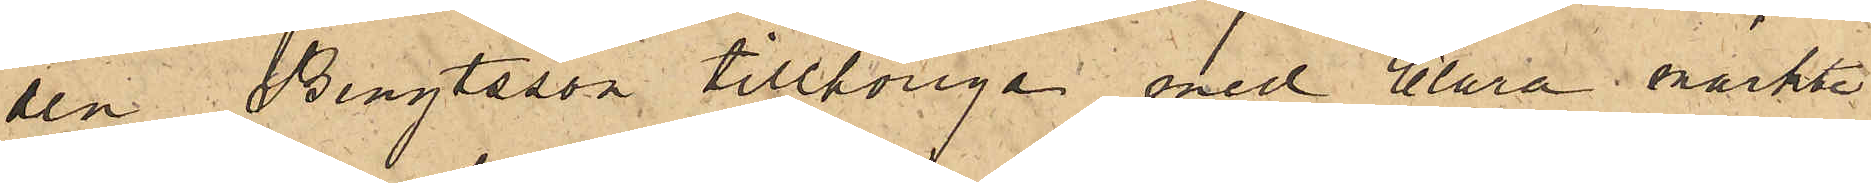den Bengtsson tillhöriga med Clara märkte
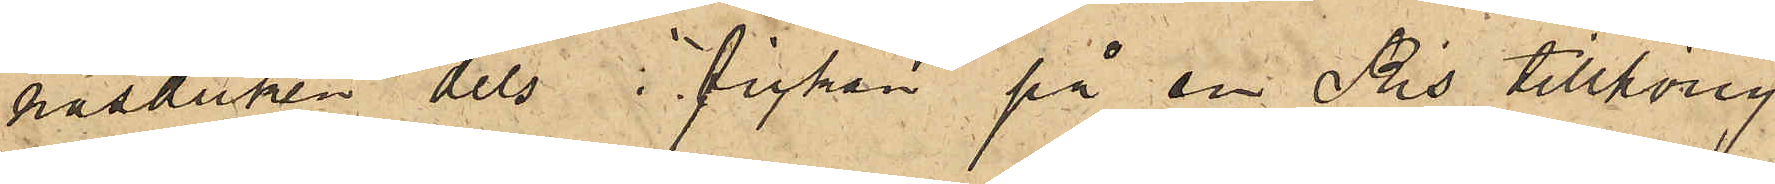näsduken dels i fickan på en Ris tillhörig
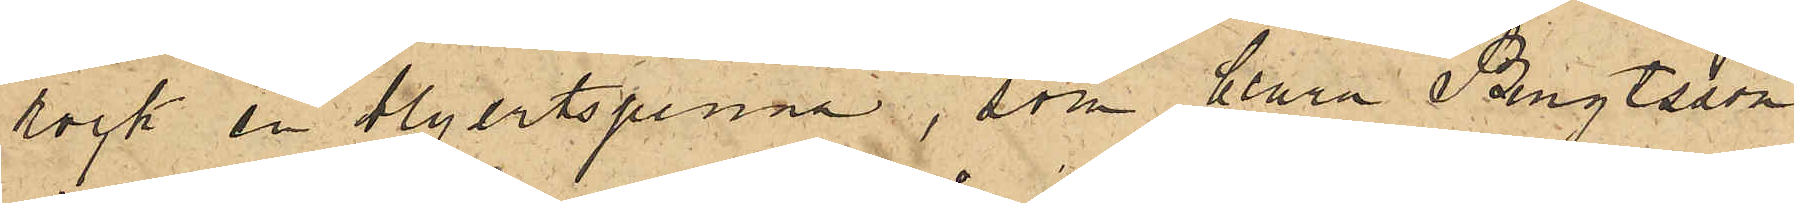rock en blyertspenna, som Clara Bengtsson
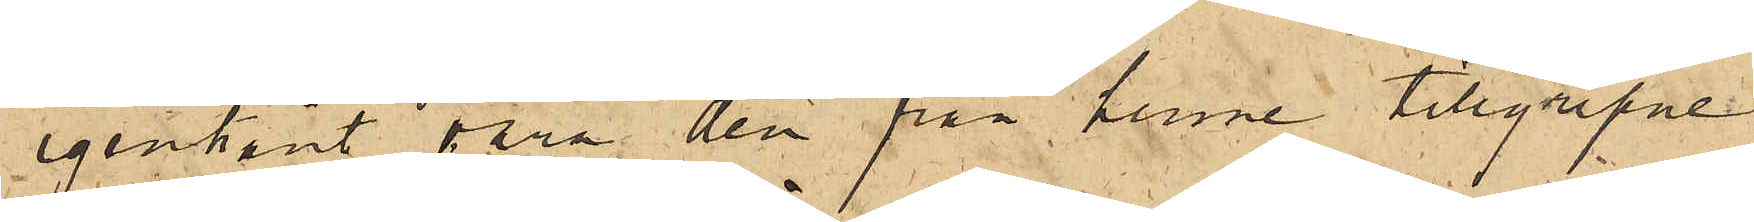igenkänt vara den från henne tillgripne
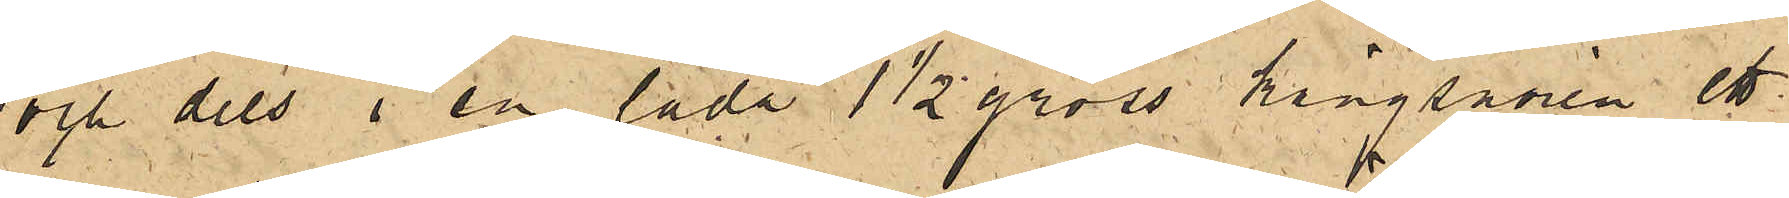och dels i en låda 1½ gross kängsnören ett
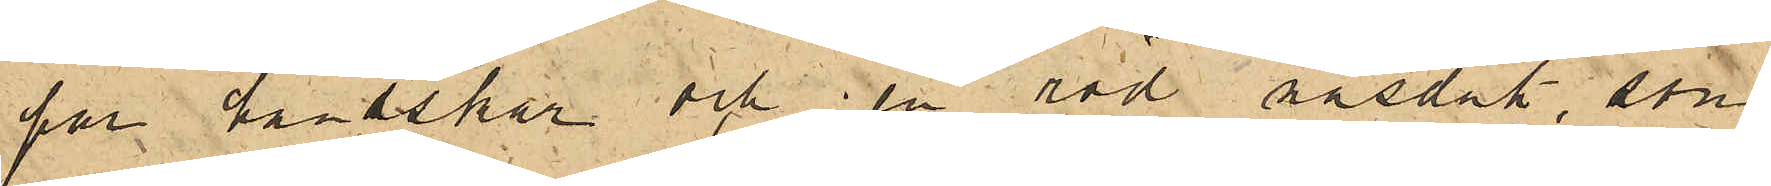par handskar och en röd näsduk, som
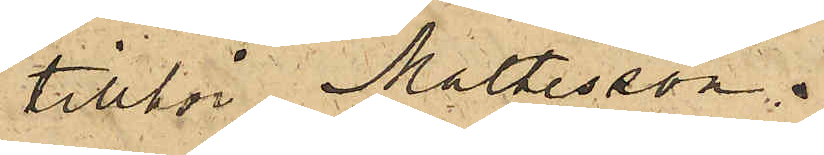tillhör Maltesson.
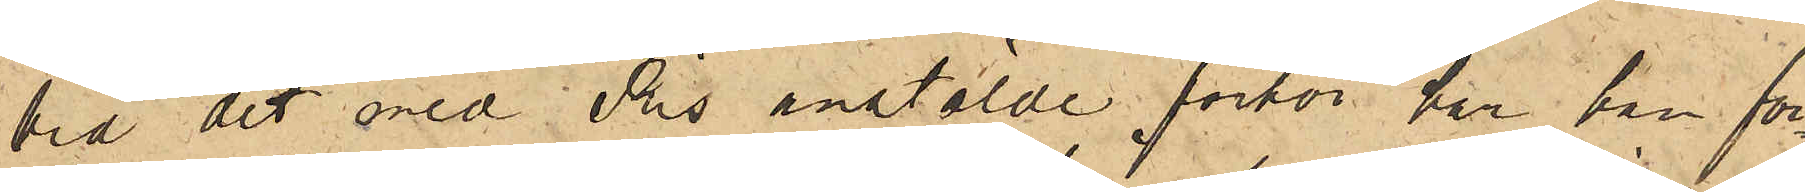Vid det med Ris anstälde förhör har han för¬
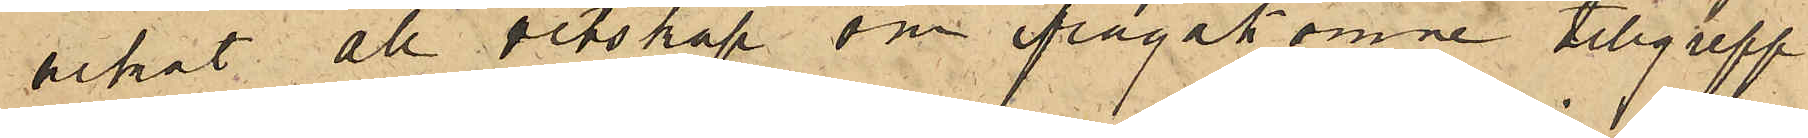nekat all vetskap om ifrågakomne tillgrepp
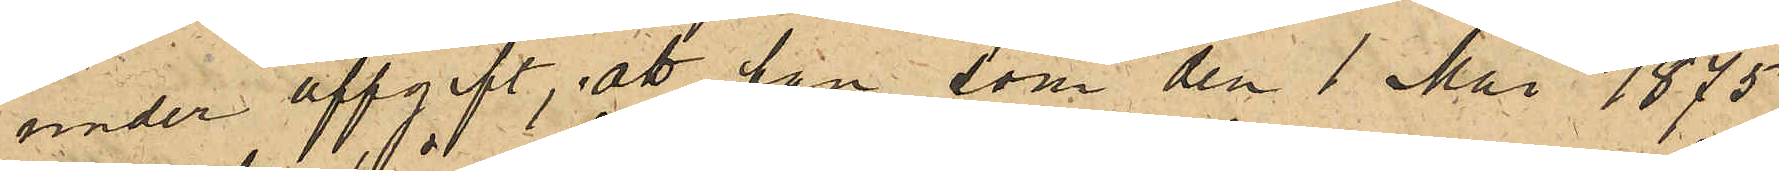under uppgift, att han, som den 1 Maj 1875
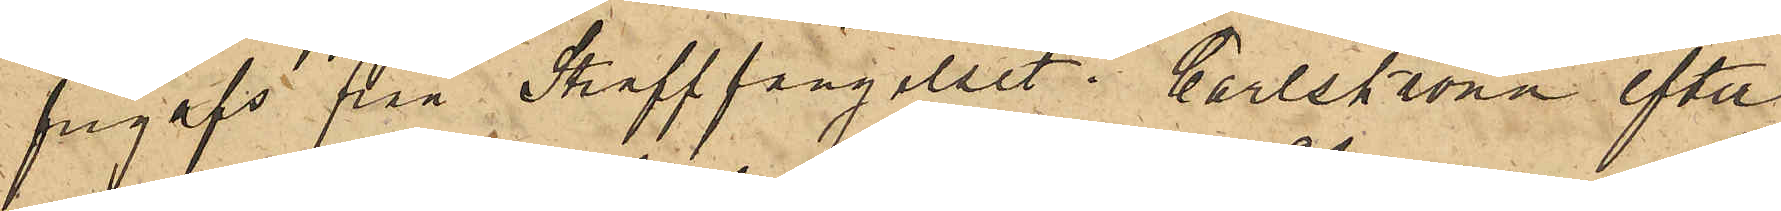frigafs från Staffängelset i Carlskrona efter
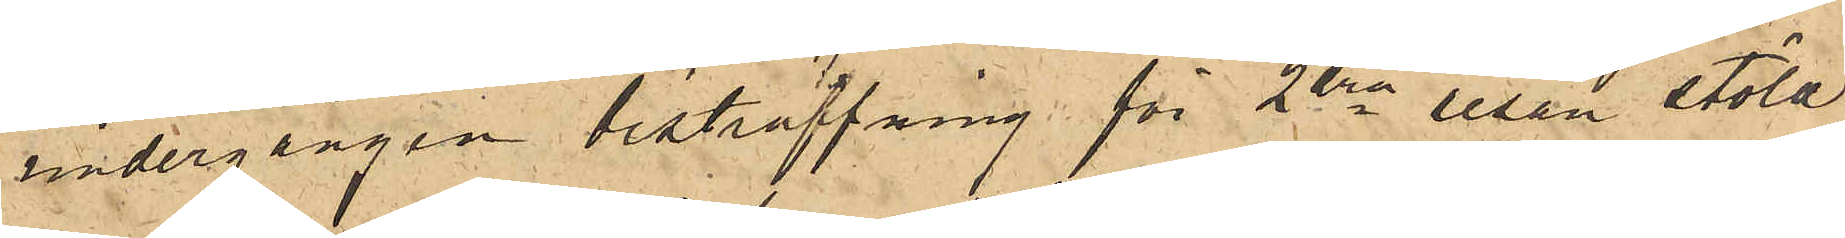undergången bestraffning för 2dra resan stöld
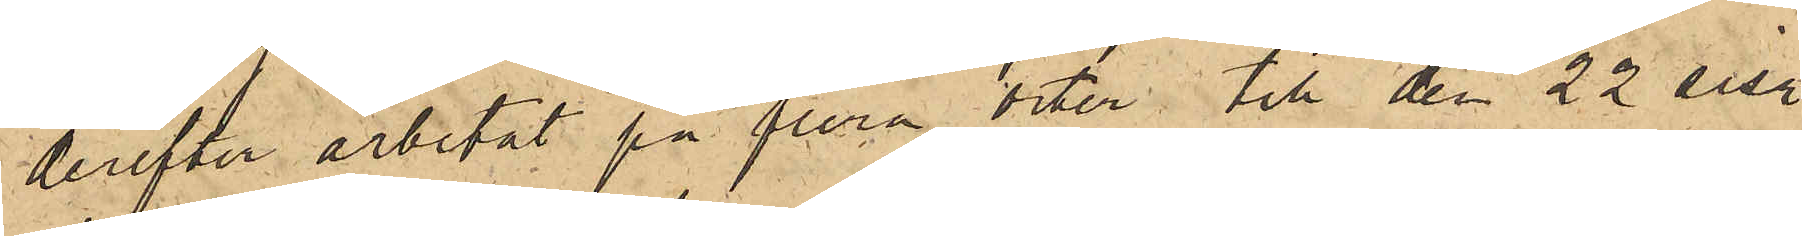derefter arbetat på flera orter till den 22 sist.
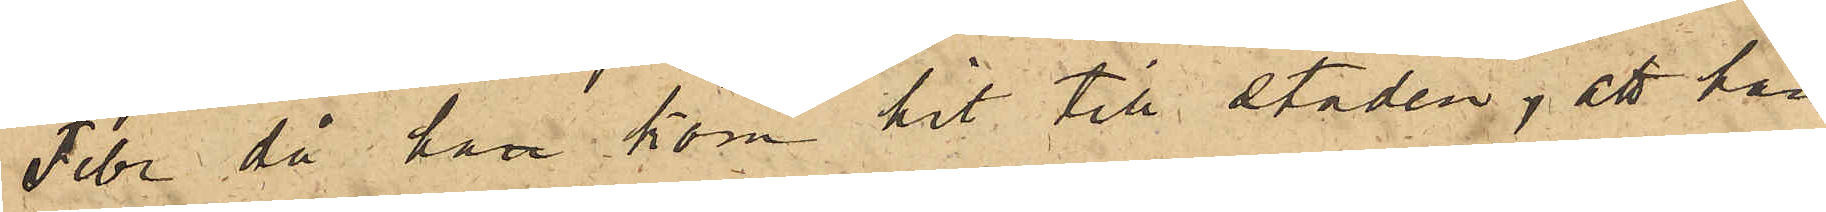Febr då han kom hit till staden; att han
